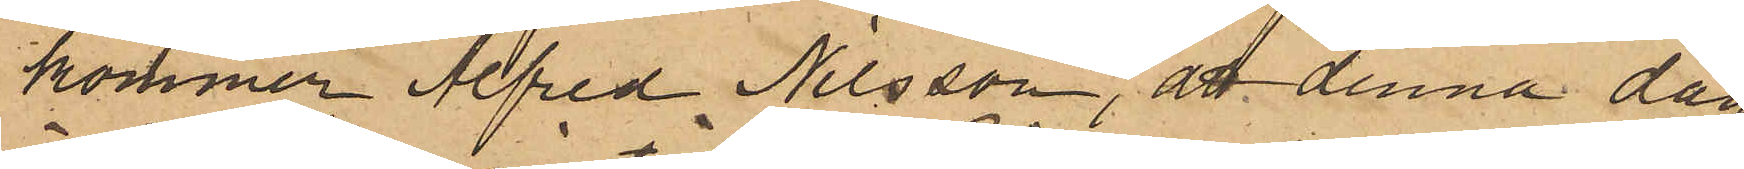kommer Alfred Nilsson, att denna dag
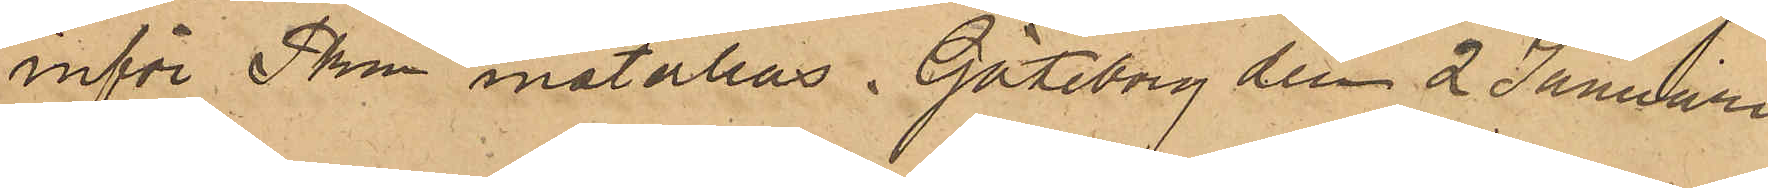inför Pkm inställas. Göteborg den 2 Januari
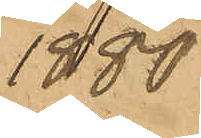1880.
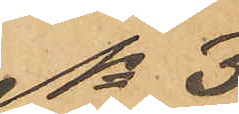No 3
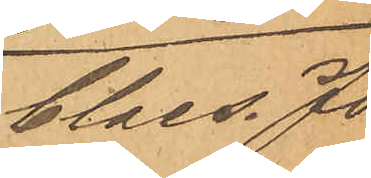Claes Jo¬
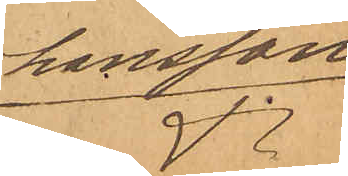hansson
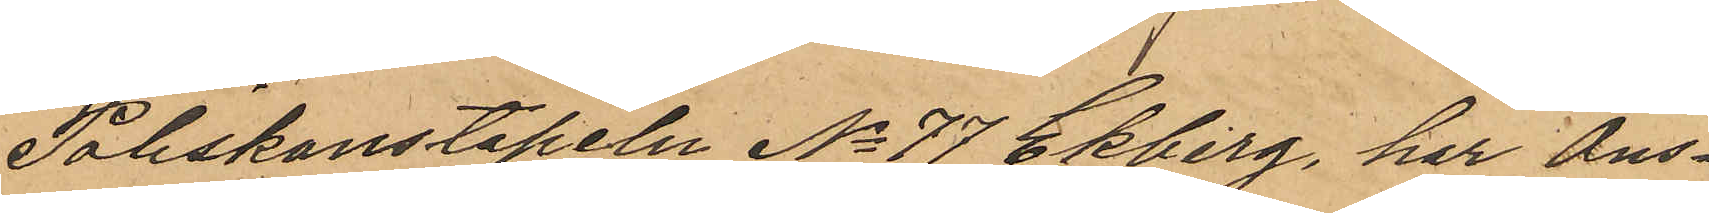Poliskonstapeln No 77 Ekberg, har Ons¬
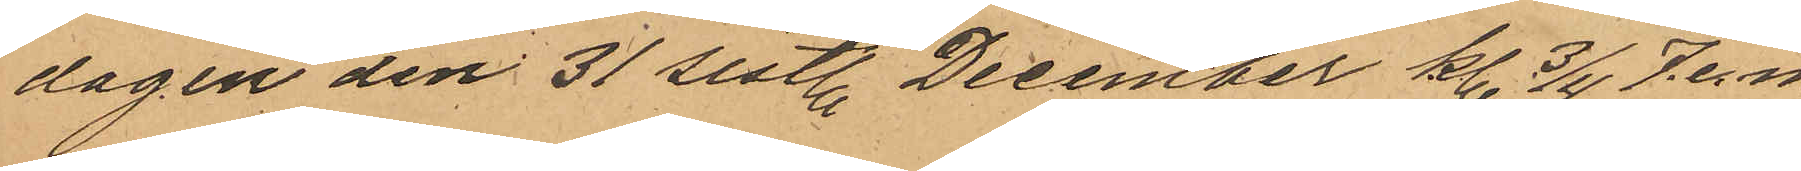dagen den 31 sistl December kl. 3/4 7 e. m.
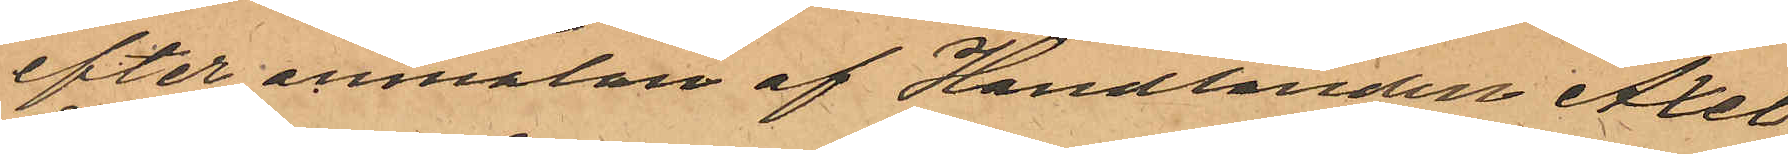efter anmälan af Handlanden Axel
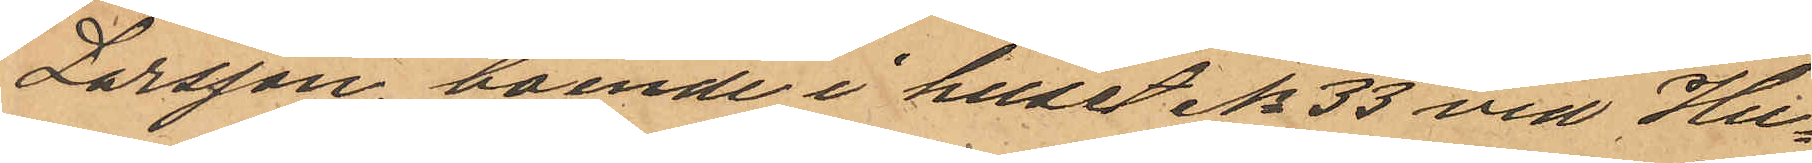Larsson, boende i huset No 33 vid Hu¬
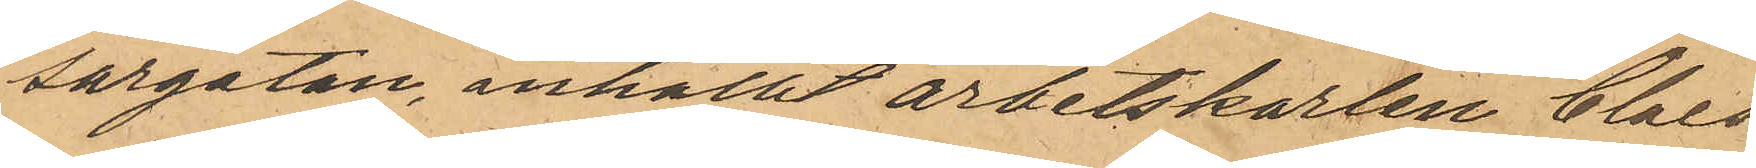sargatan, anhallit arbetskarlen Claes
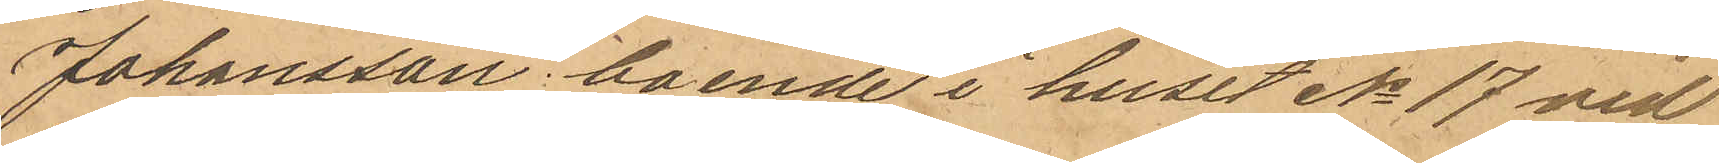Johansson boende i huset No 17 vid
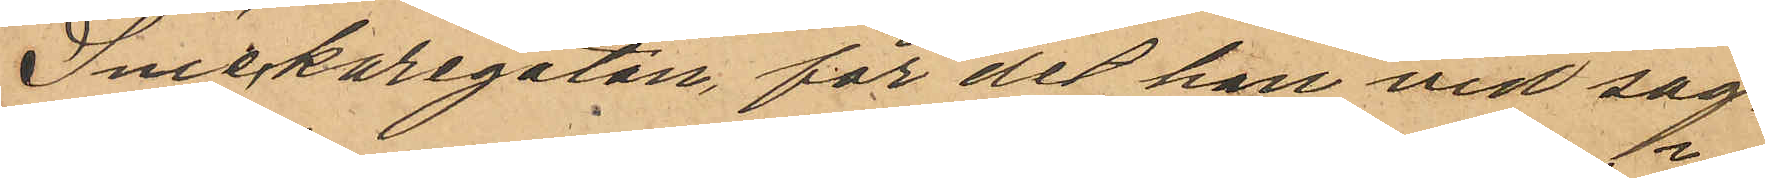Snickaregatan för det han vid sag¬
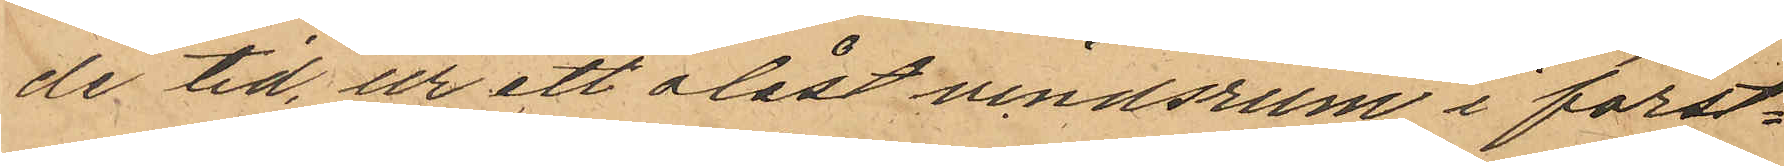de tid, ur ett olåst vindsrum i först¬
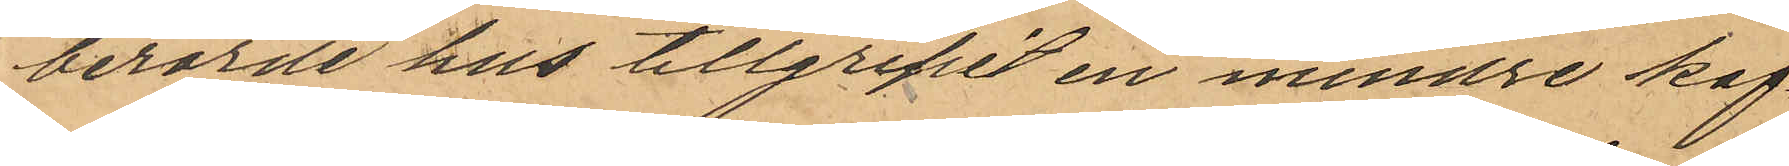berörde hus tillgripit en mindre kaf¬
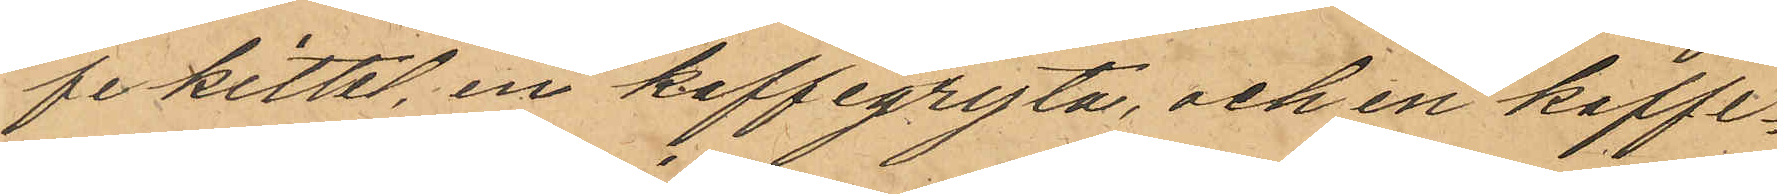fekittel, en kaffegryta, och en kaffe¬
